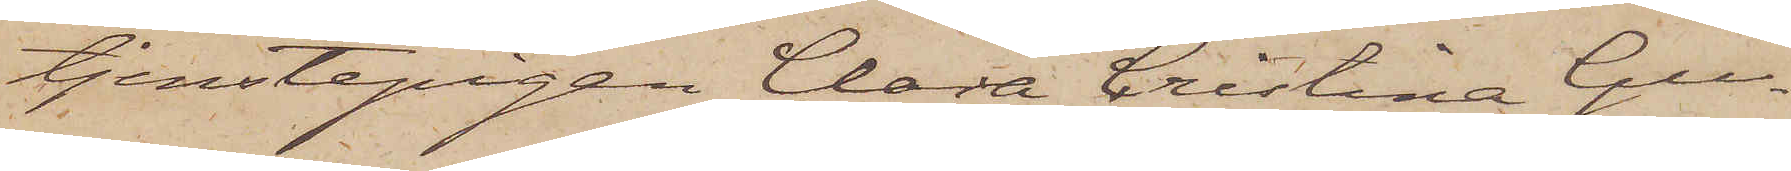tjenstepigan Clara Cristina Gu¬
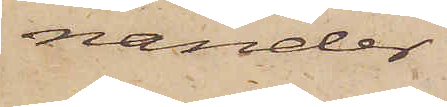nander
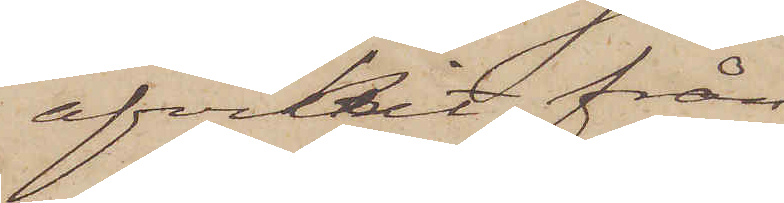afvikit från
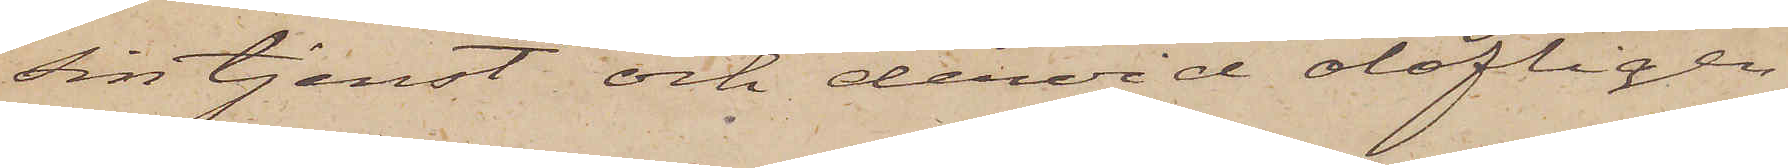sin tjenst och dervid olofligen
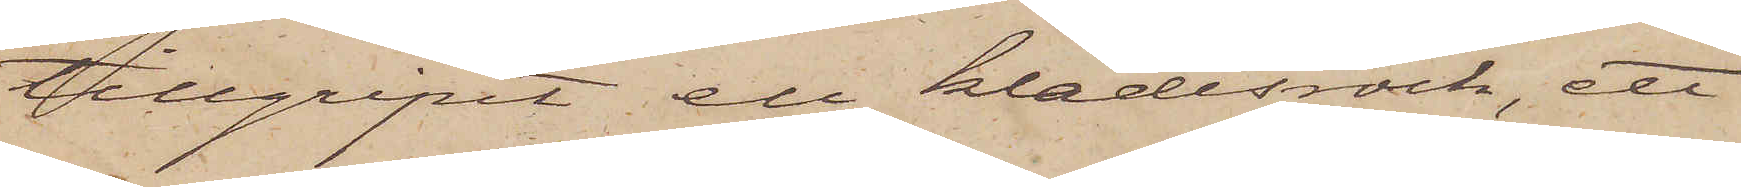tillgripit en klädesrock, ett
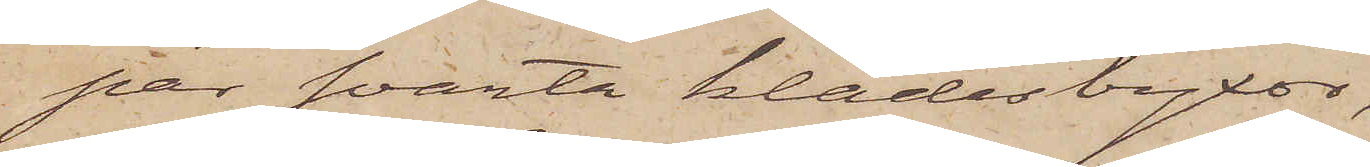par svarta klädesbyxor,
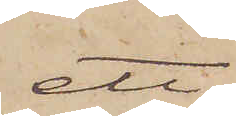ett
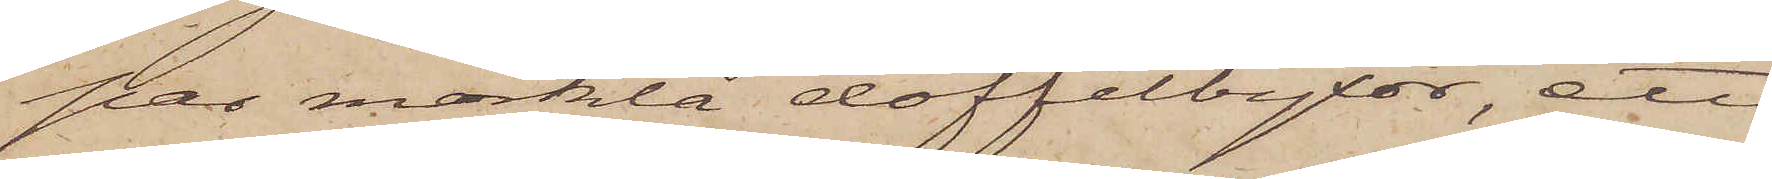par mörkblå doffelbyxor, ett
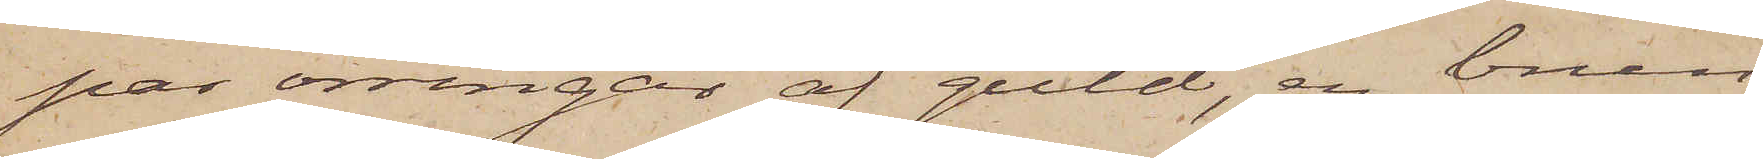par örringar af guld, en brun
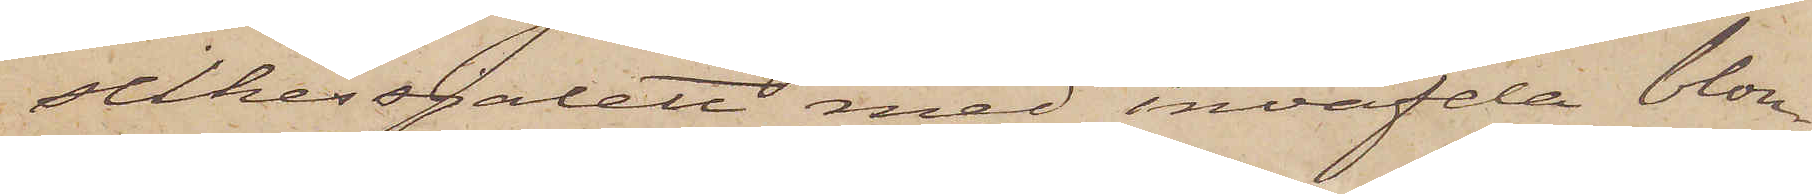silkessjalett med inväfda blom¬
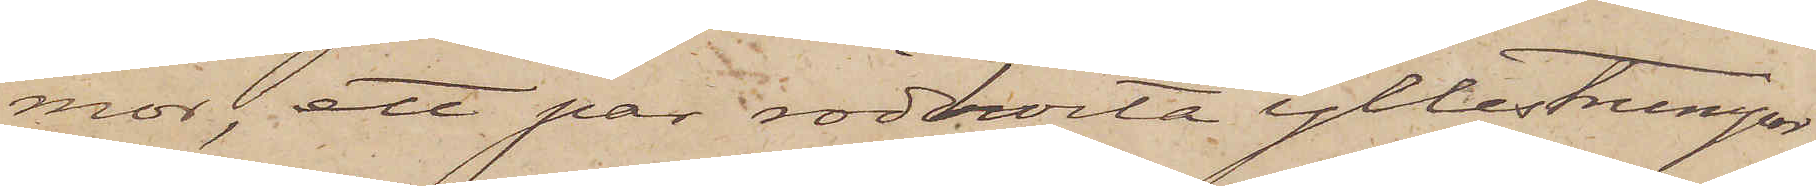mor, ett par rödhvita yllestrumpor,
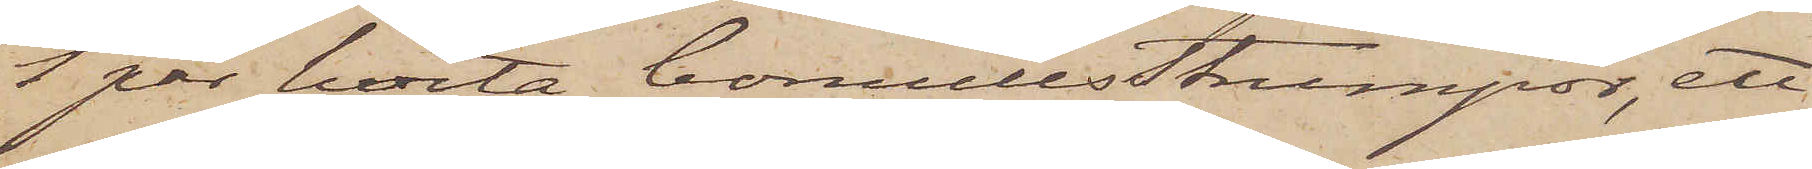1 par hvita bomullsstrumpor, ett
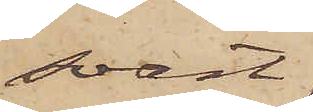svart,
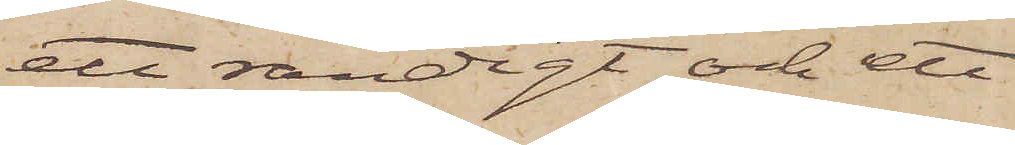ett randigt oh ett
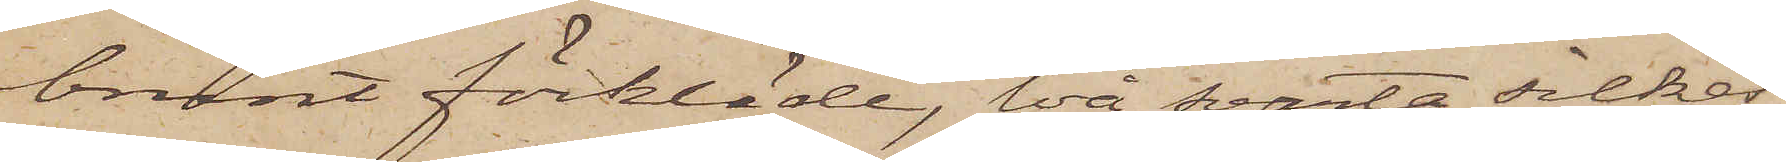brunt förkläde, två svarta silkes¬
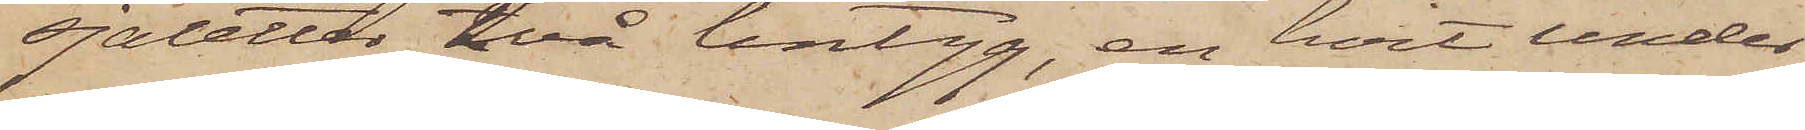sjaletter, två lintyg, en hvit under¬
